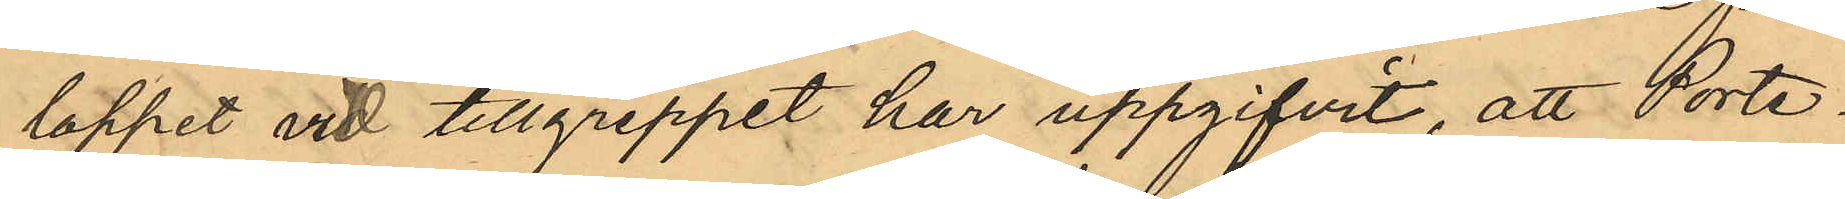loppet vid tillgreppet har uppgifvit, att Porte¬
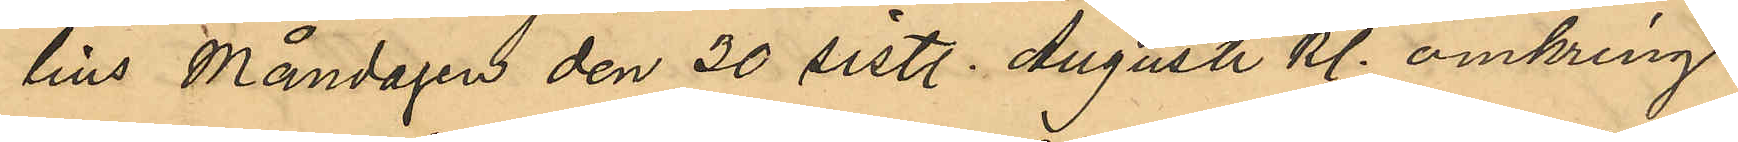lius Måndagen den 30 sistl. Augusti kl. omkring
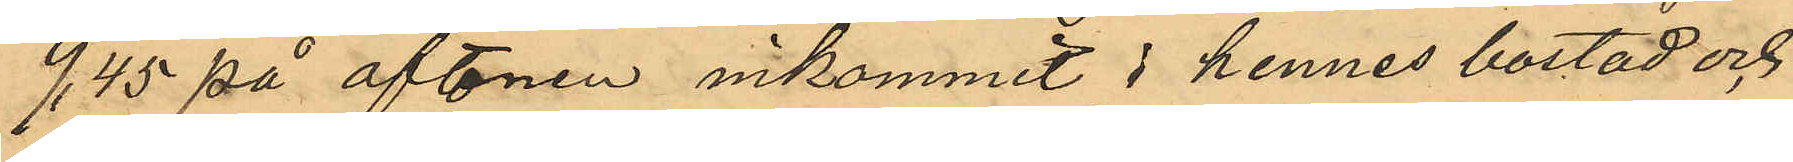9,45 på aftonen inkommit i hennes bostad och
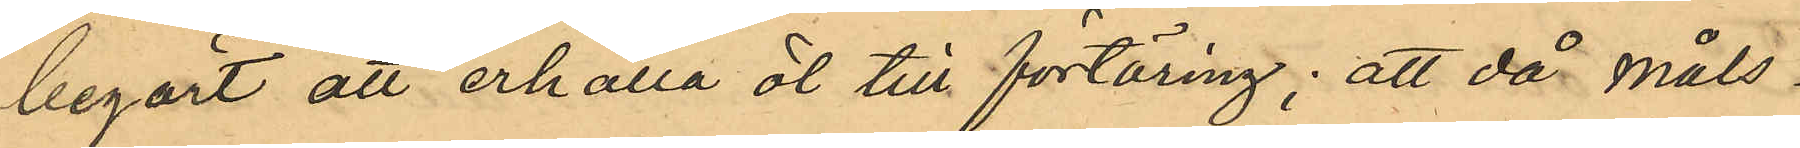begärt att erhålla öl till förtäring; att då måls¬
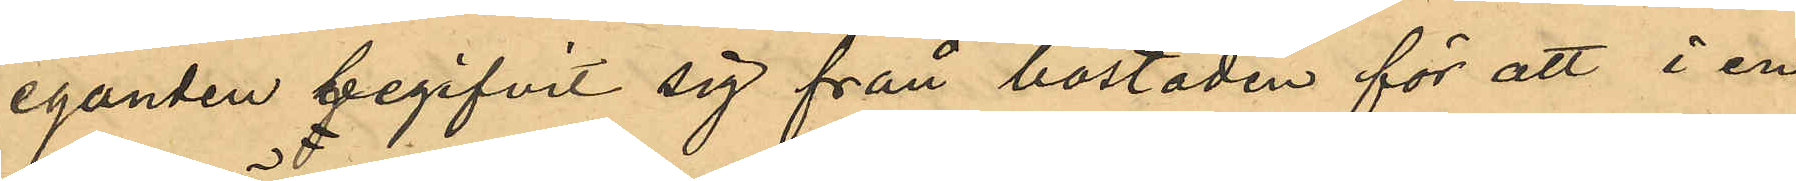eganden begifvit sig från bostaden för att i en
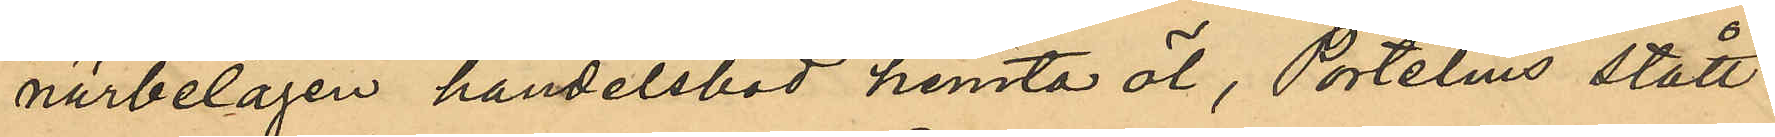närbelägen handelsbod hemta öl, Portelius stått
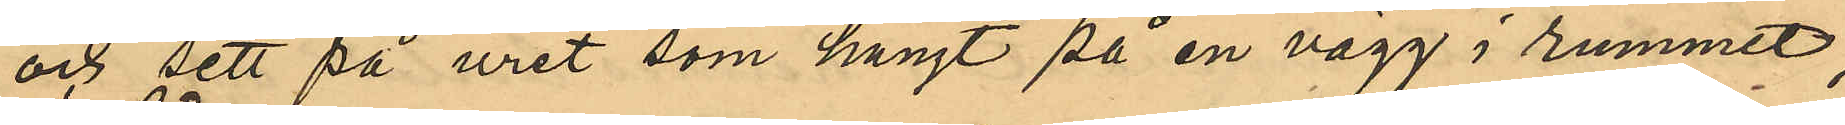och sett på uret som hängt på en vägg i rummet,
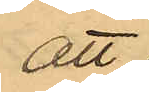att
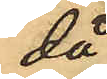då
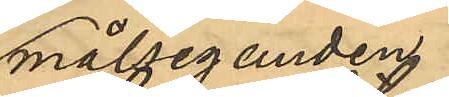målseganden
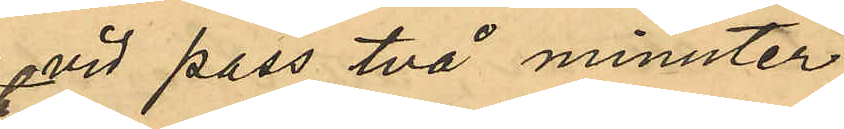vid pass två minuter
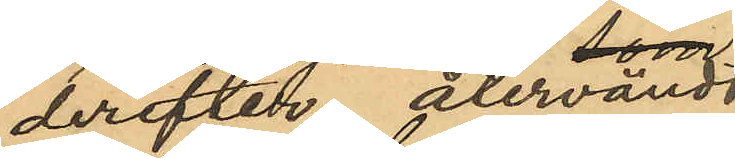derefter återvändt
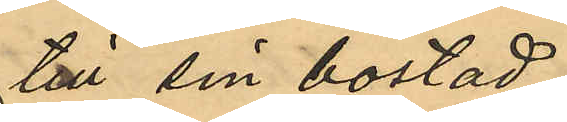till sin bostad,
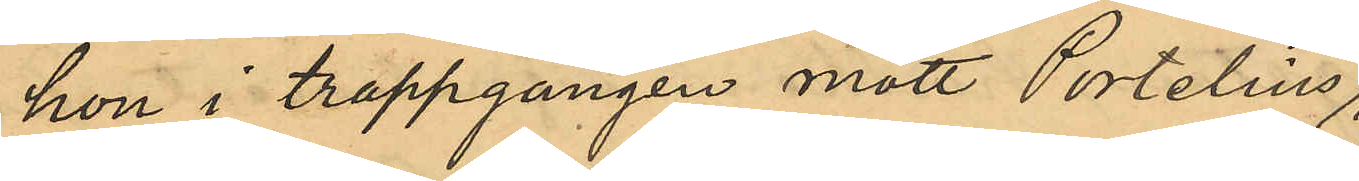hon i trappgången mött Portelius,
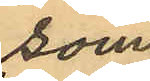som
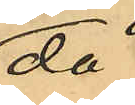då
